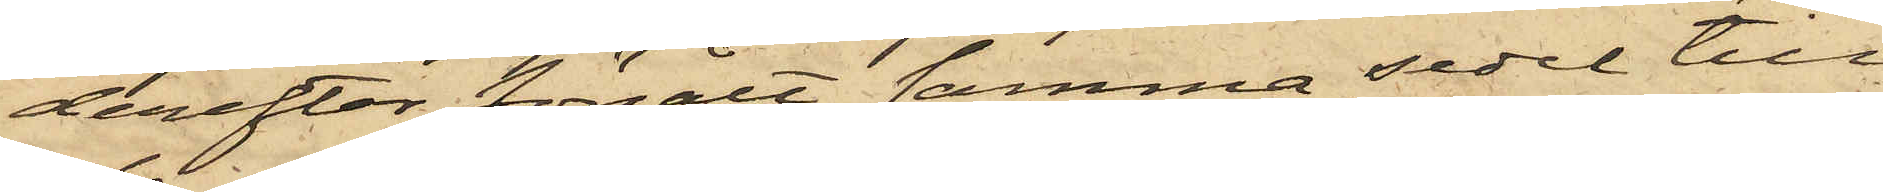derefter försålt samma sedel till
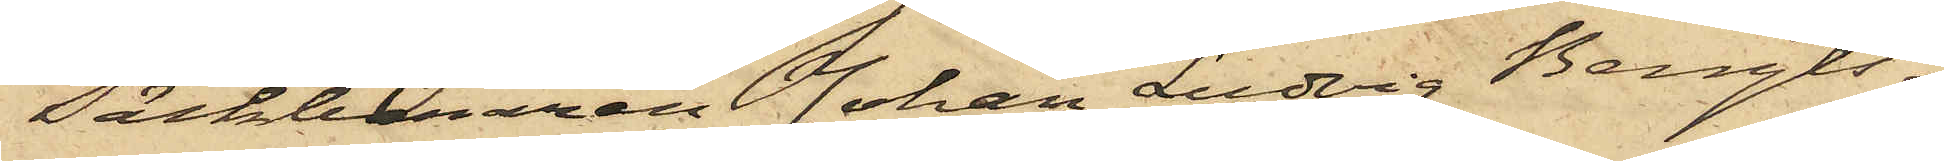Säckbäraren Johan Ludvig Bengts¬
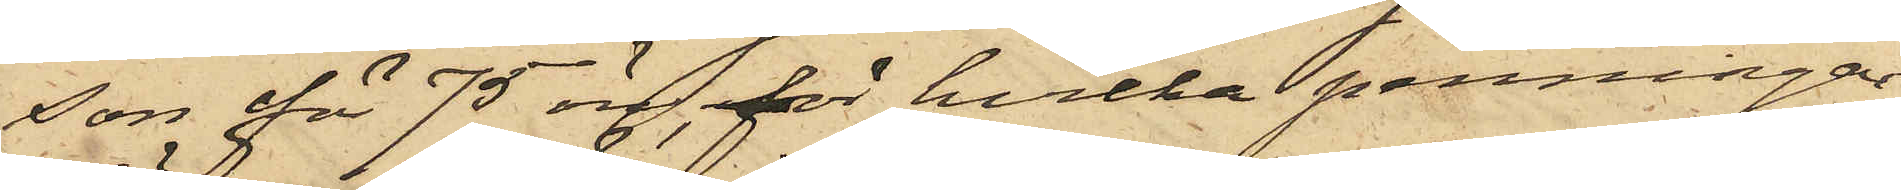son för 75 öre, för hvilka penningar
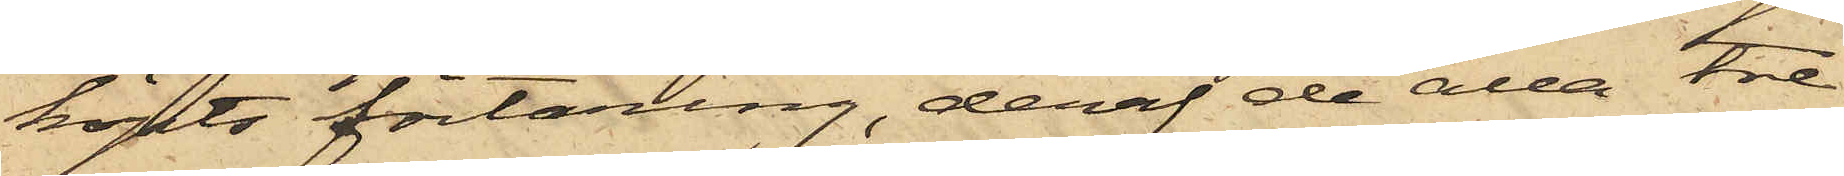köpts förtäring, deraf de alla tre
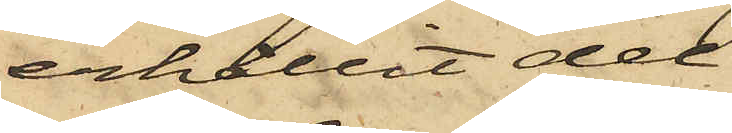erhållit del.
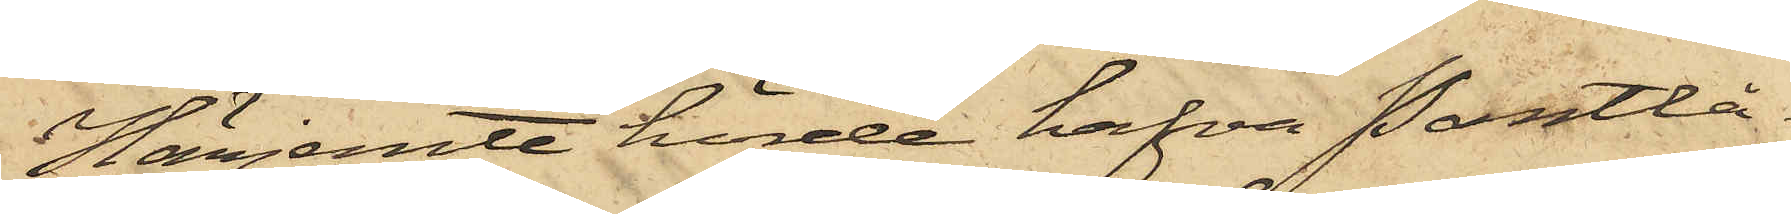Härjemte hörde hafva Pantlå¬
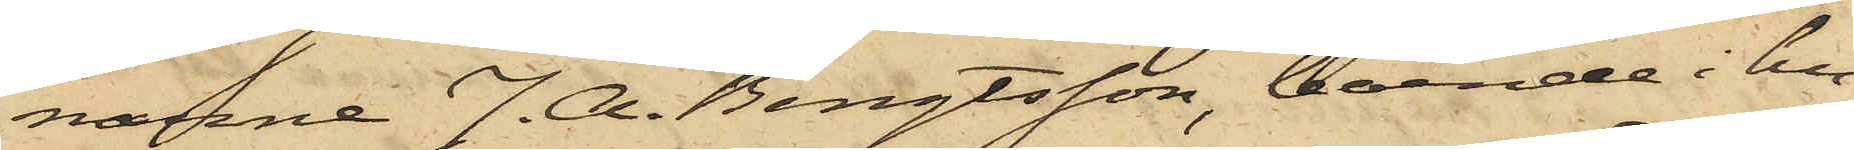narne J. A. Bengtsson, boende i hu¬
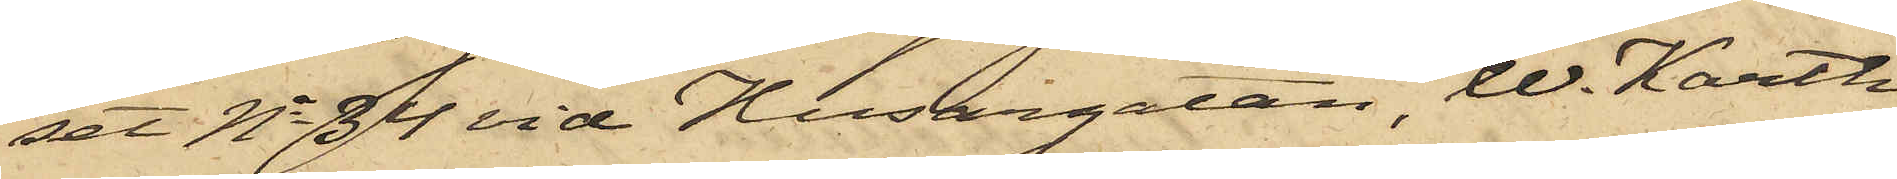set No 34 vid Husargatan, W. Karth,
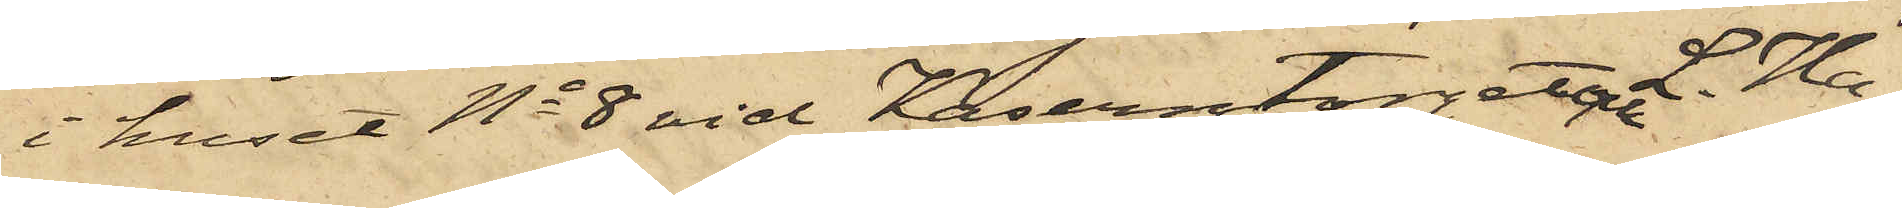i huset No 8 vid Kaserntorget och L. Ha¬
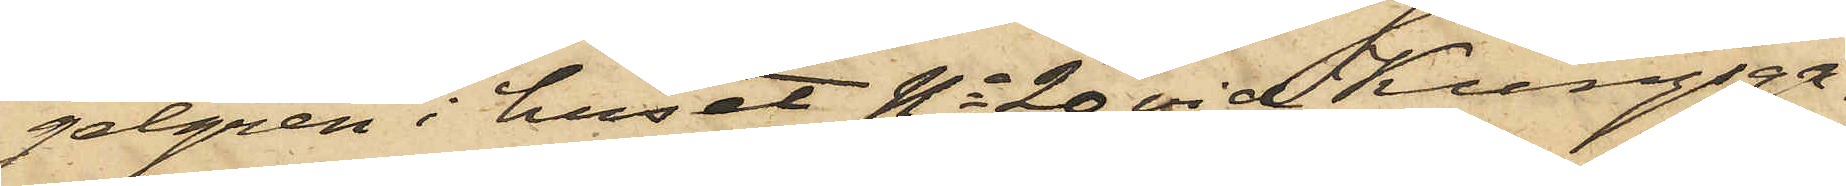gelgren i huset No 20 vid Kungsga¬
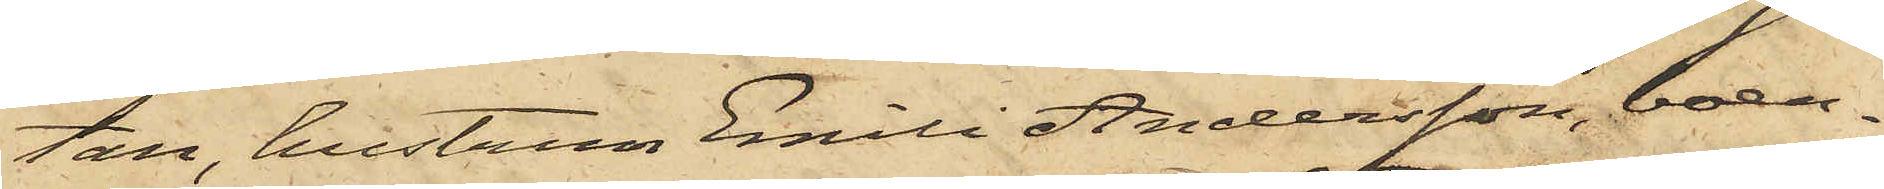tan, hustrun Emili Andersson, boen¬
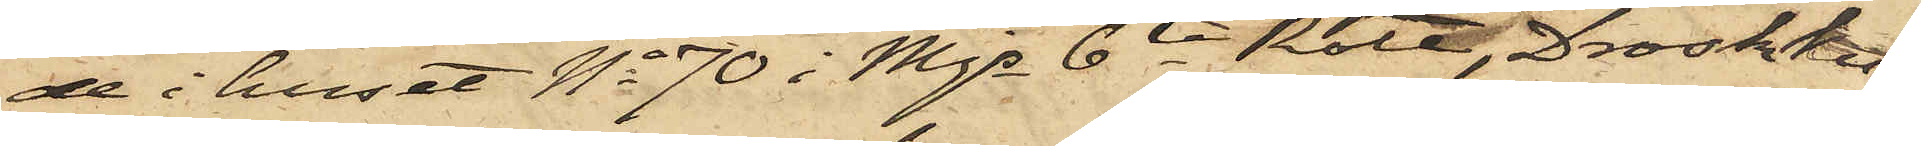de i huset No 70 i Mjs 6te Rote, Droskkus¬
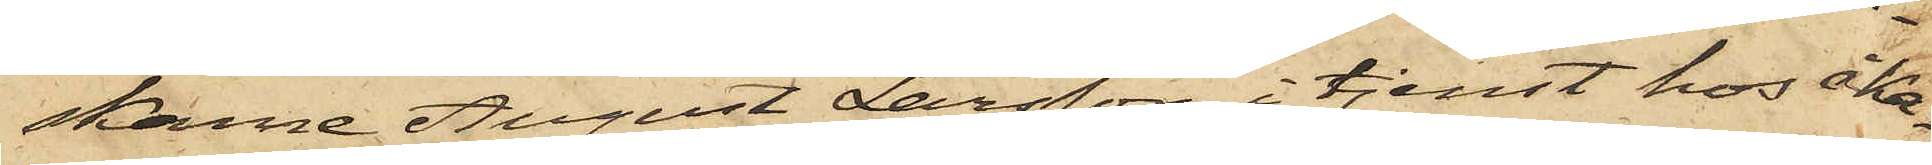skarne August Larsson, i tjenst hos åker¬
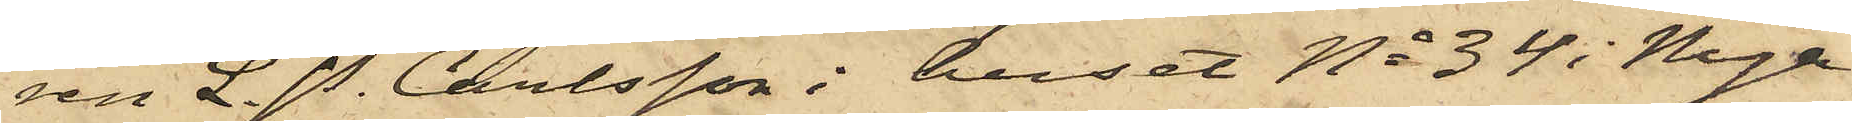ren L. P. Carlsson i huset No 34 i Nya
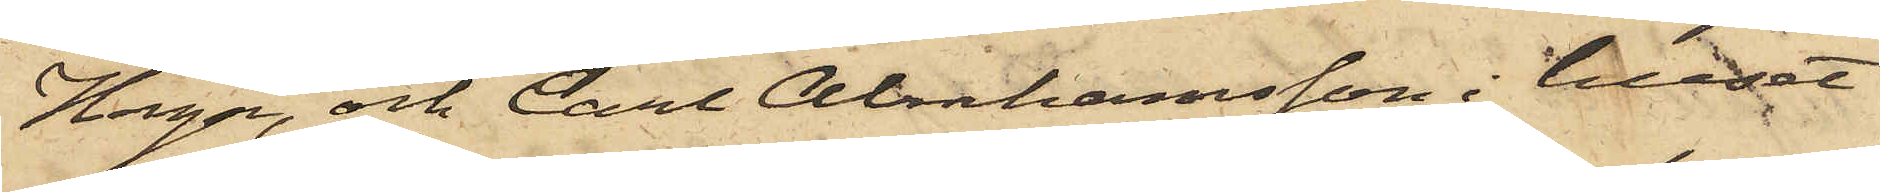Haga, och Carl Abahamsson i huset
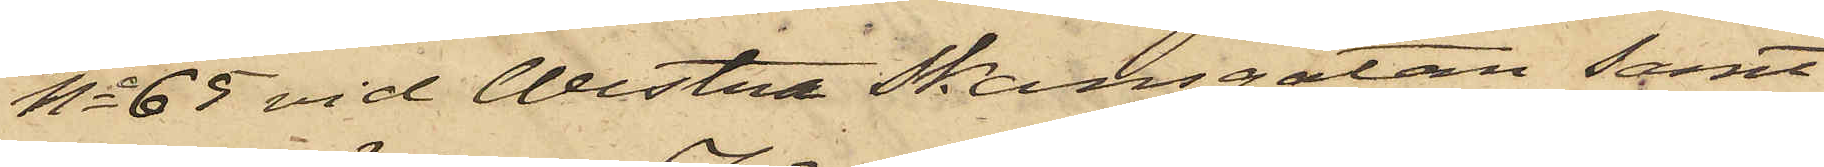No 65 vid Westra Skansgatan samt
